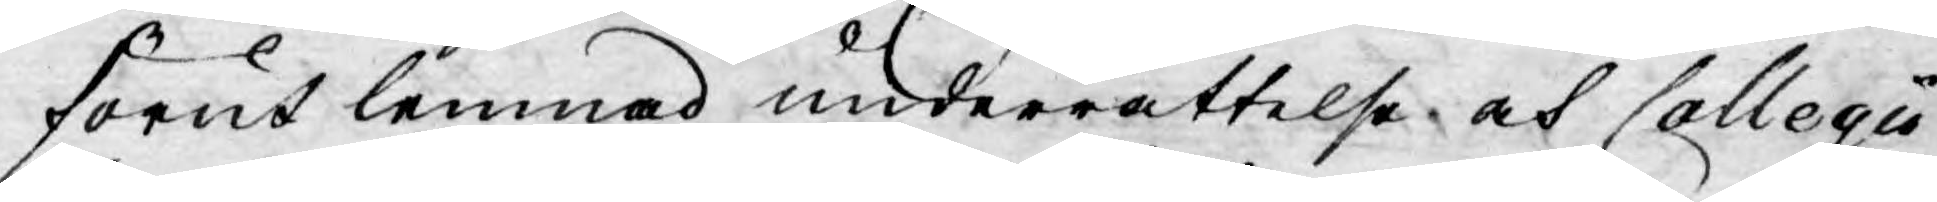förut lemnad underrättelse och Collegio
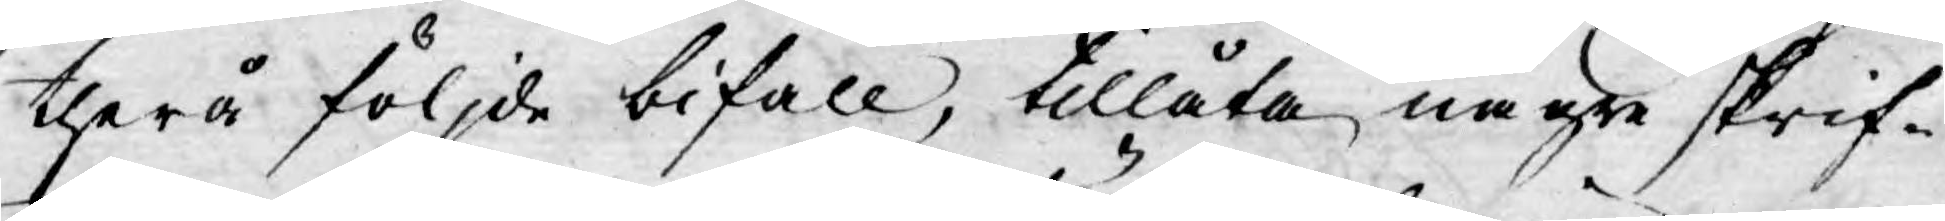therå följde bifall, tillåta någre skrif¬
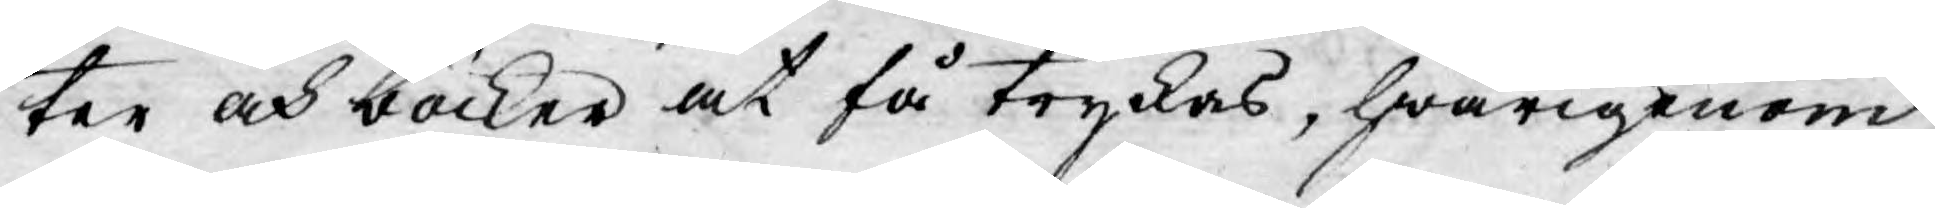ter och böcker at få tryckas, hwarigenom
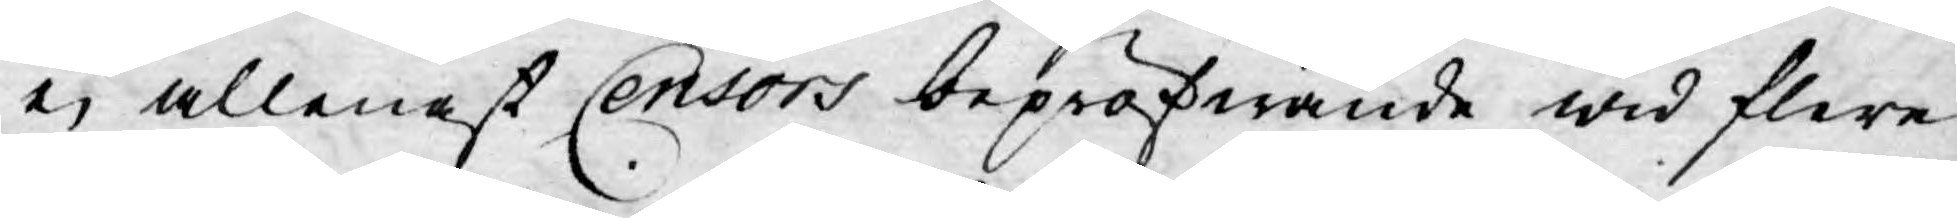ej allenast Censors bepröfwande wid flere
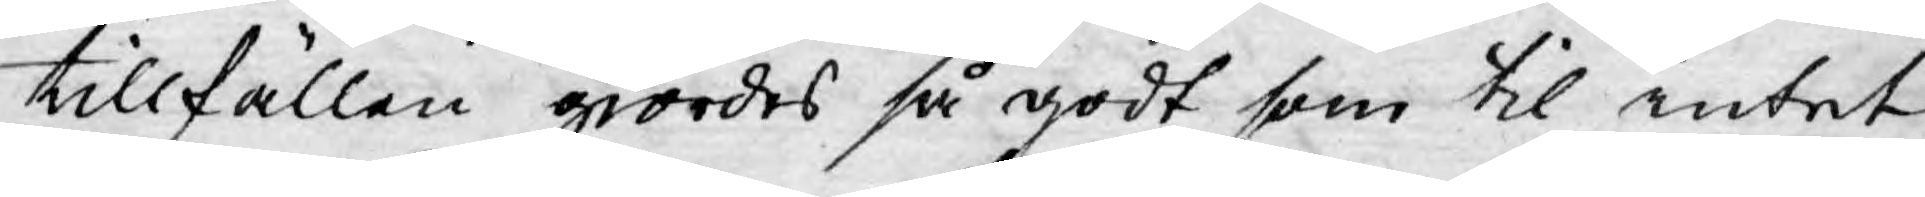tillfällen giordes så godt som til intet
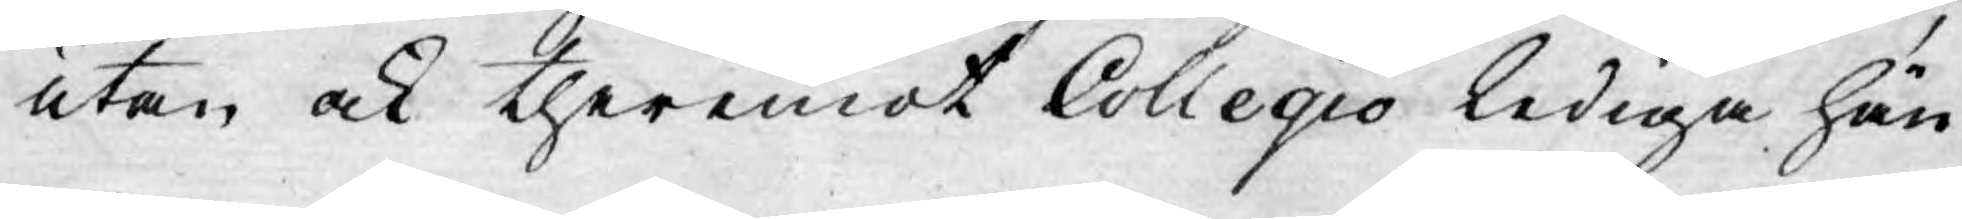utan ock theremot Collegio lediga hän¬
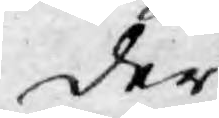der
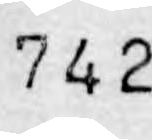742
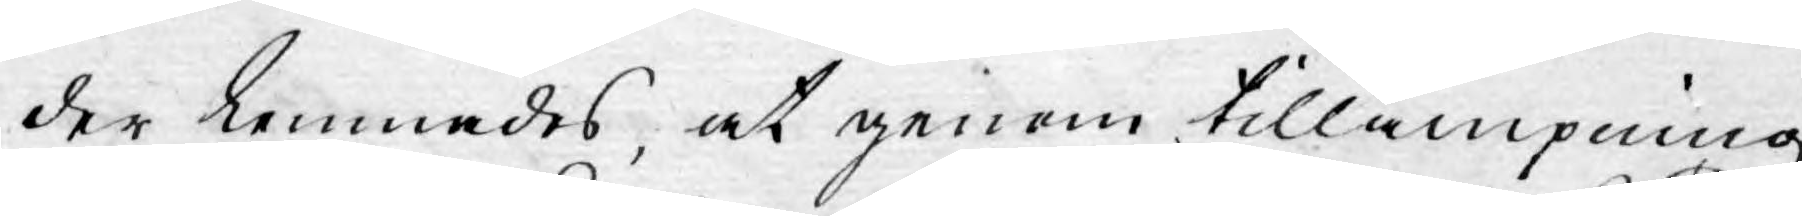der lemnades, at genom tillämpning
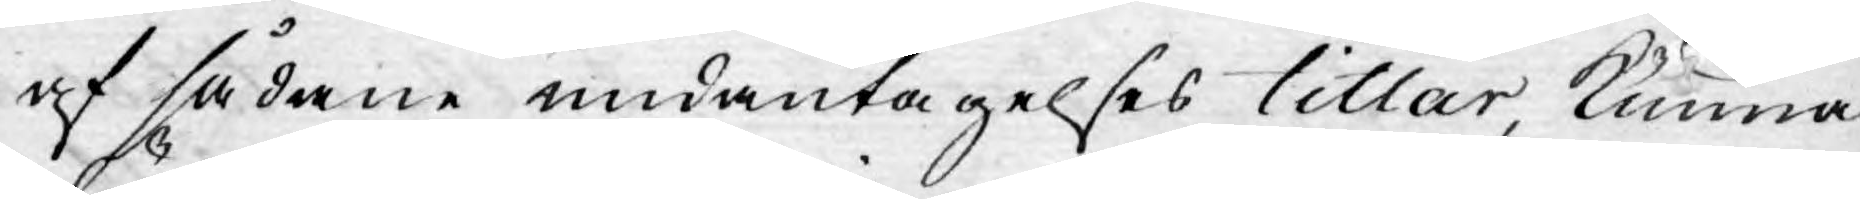af sådane undantagelses titlar, kunna
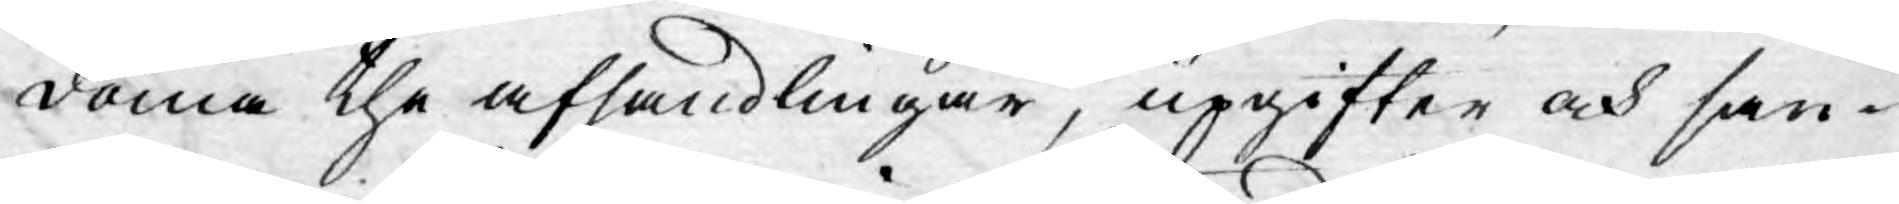döma the afhandlingar, upgifter och san¬
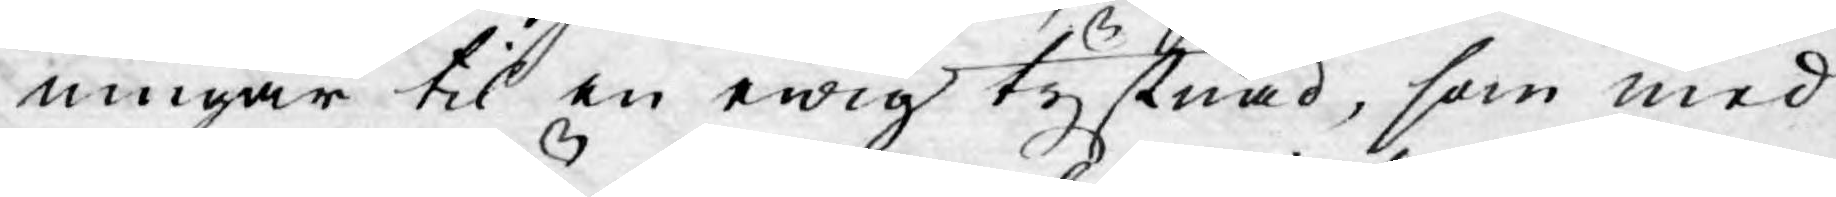ningar til en ewig tystnad, som med
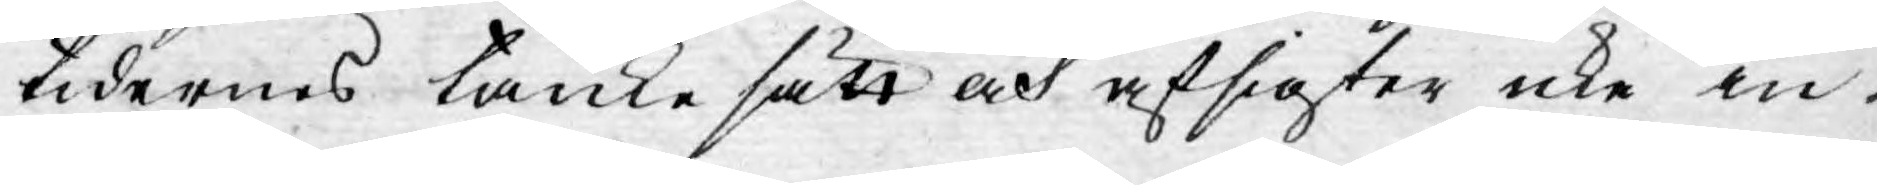tidernes tänke sätt och afsigter icke in¬
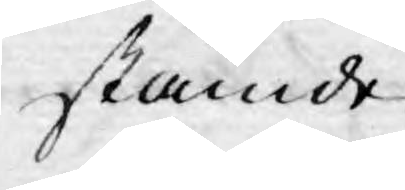stämde.
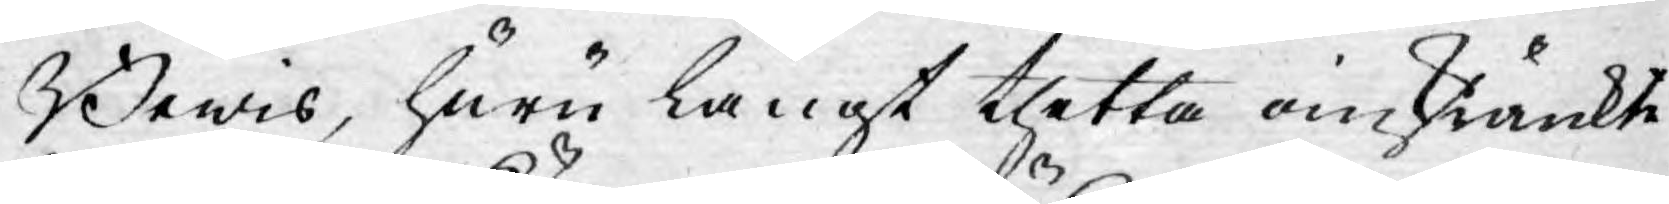Bewis, huru långt thetta omskänkte
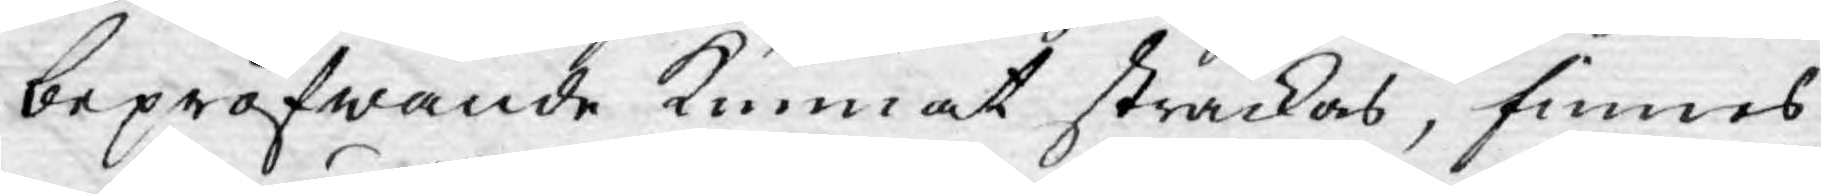bepröfwande kunnat sträckas, finnes
